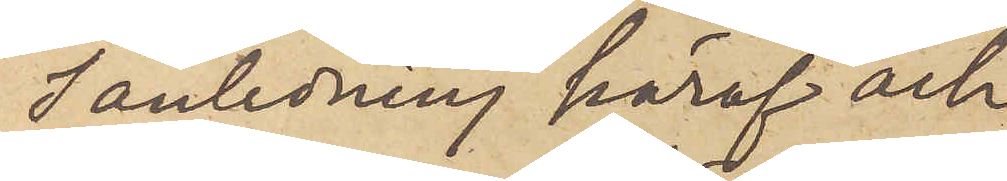I anledning häraf och
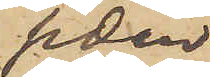sedan
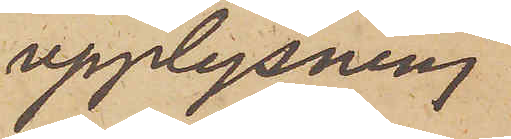upplysning
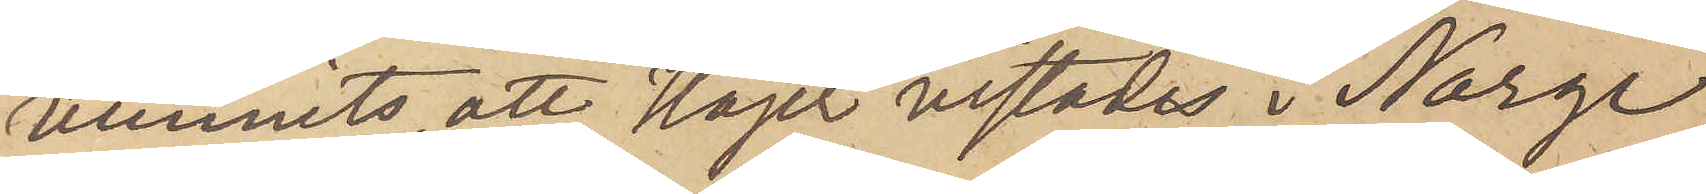vunnits att Höjer vistades i Norge
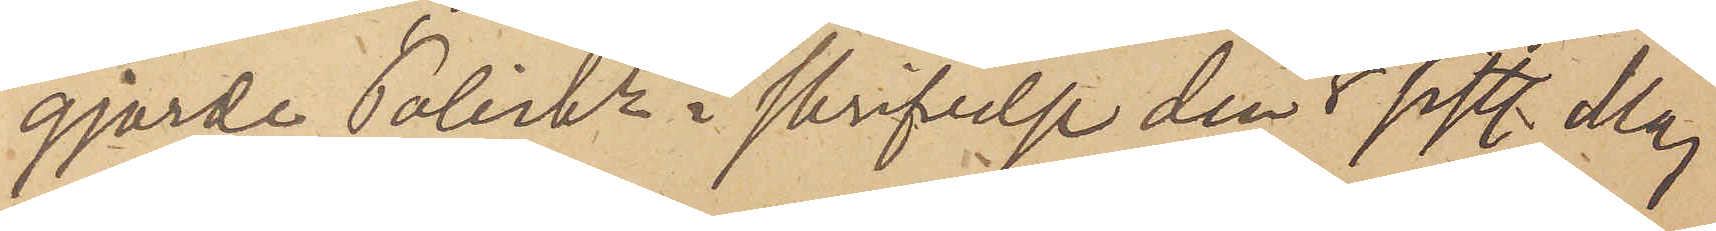gjorde Poliskn i skrifvelse den 8 sistl. Maj
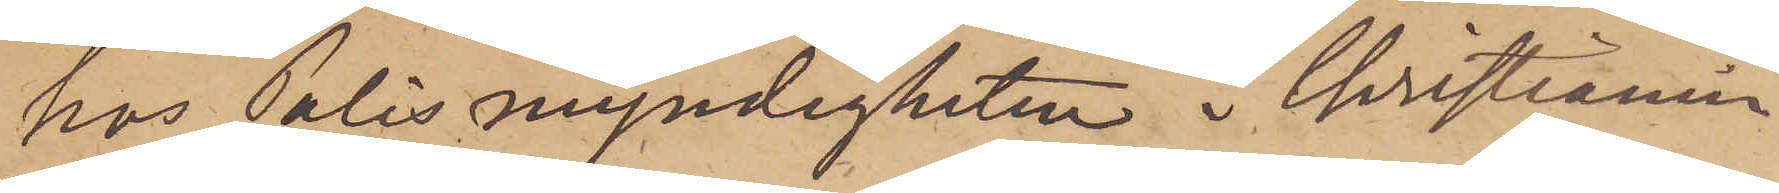hos Polismyndigheten i Christiania
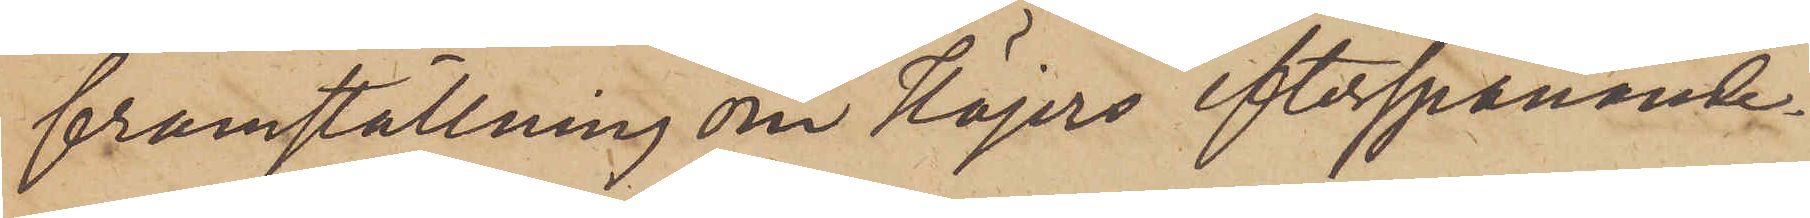framställning om Höjers efterspanande
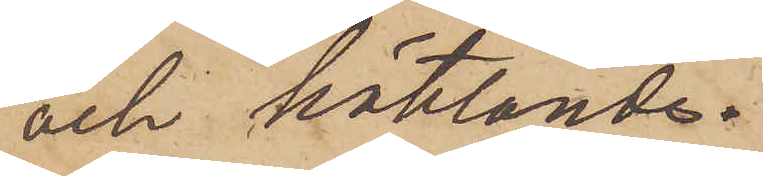och häktande.
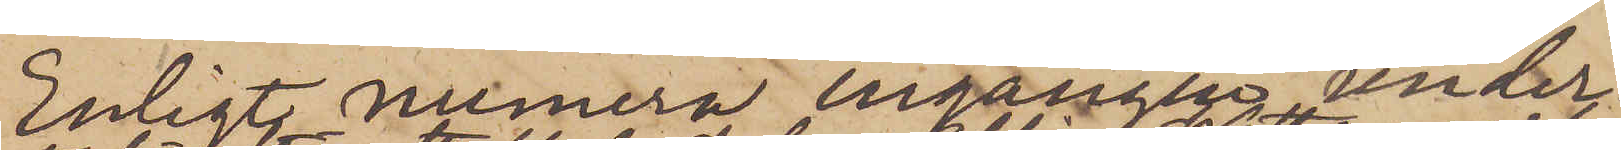Enligt numera ingången under¬
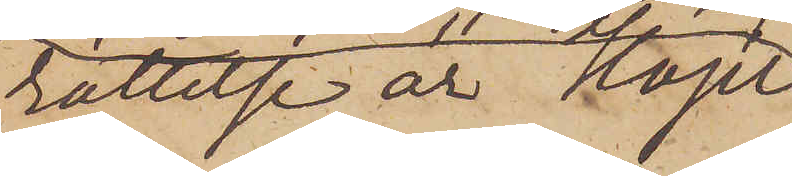rättelse är Höjer
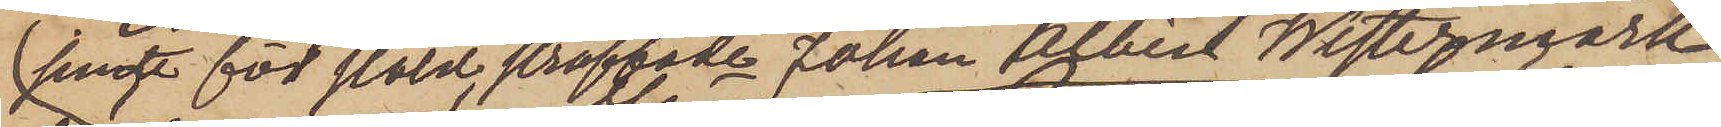jemte för stöld straffade Johan Albin Westermark
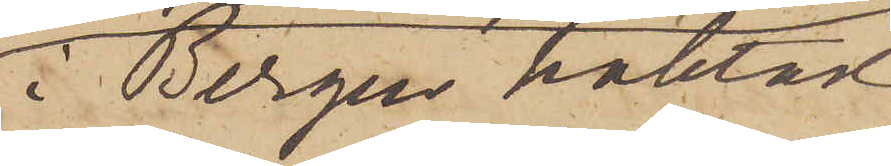i Bergen häktad
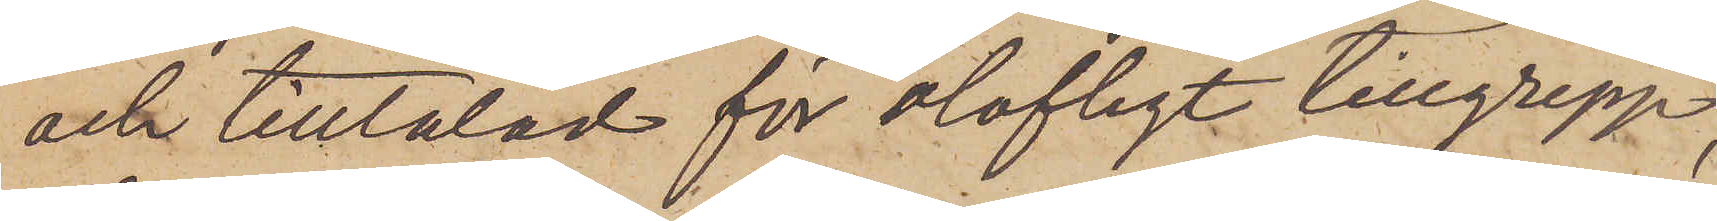och tilltalad för olofligt tillgrepp;
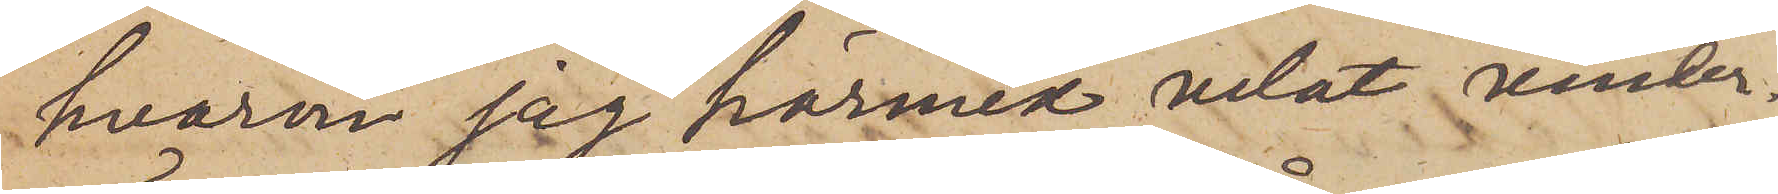hvarom jag härmed velat under¬
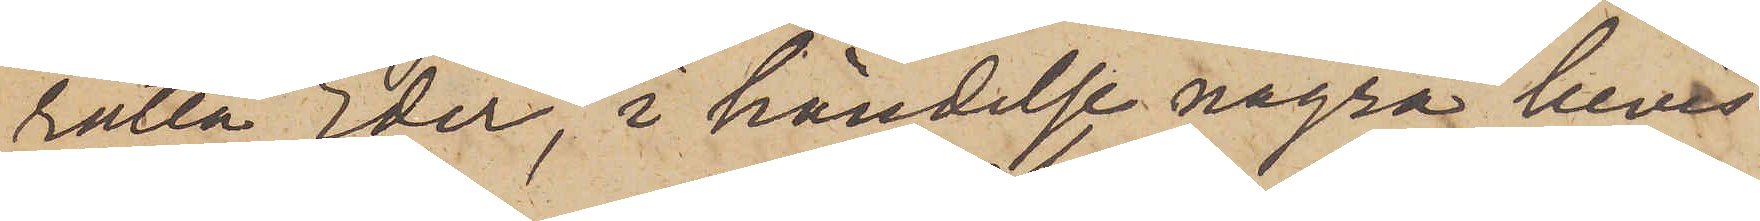rätta Eder, i händelse några bevis
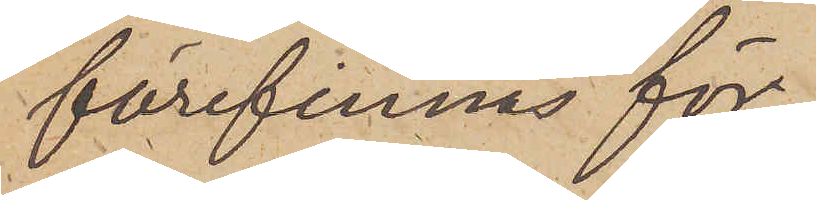förefinnas för
